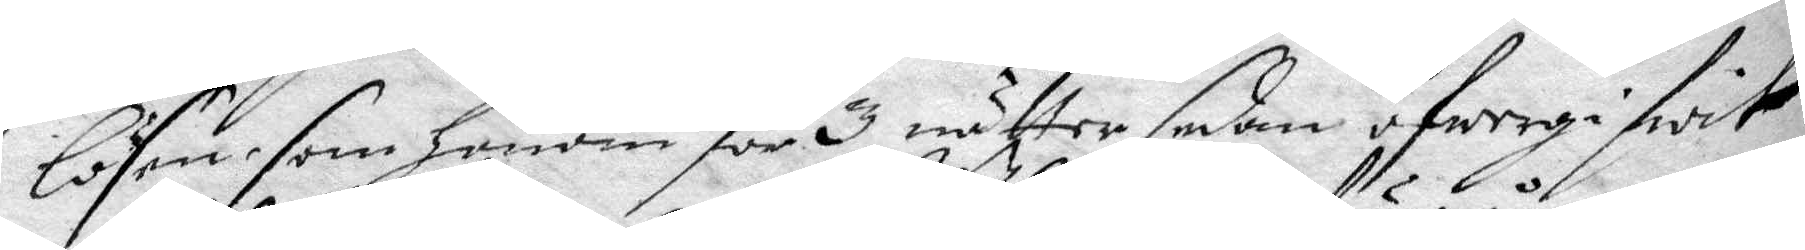lösen som honom för 3 nätter sedan öfwrige swit
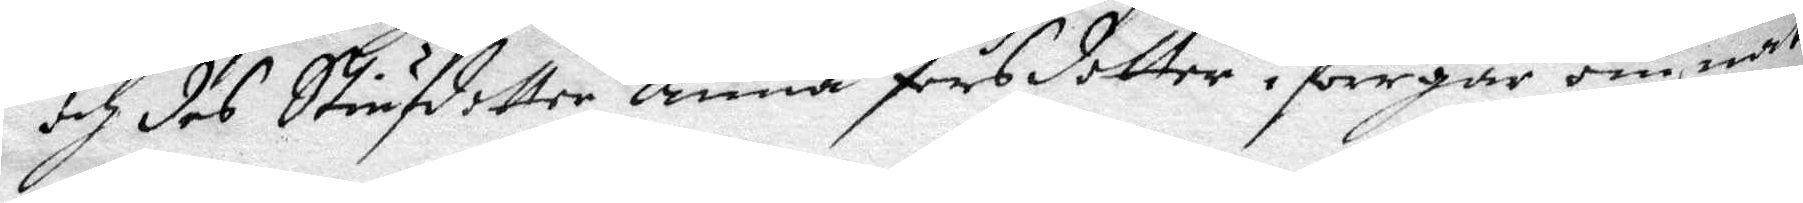och des Stiufdotter anna Pärsdotter i förrgår om natt
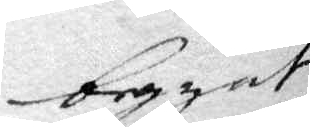begynt
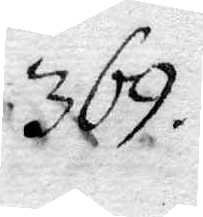369.
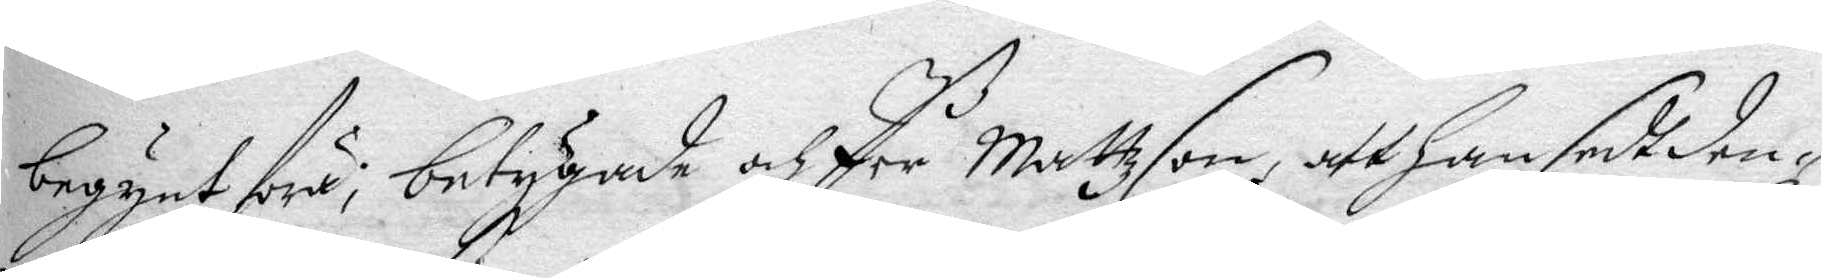begynt föra; betygande och Per mattzson, att han sedt den¬
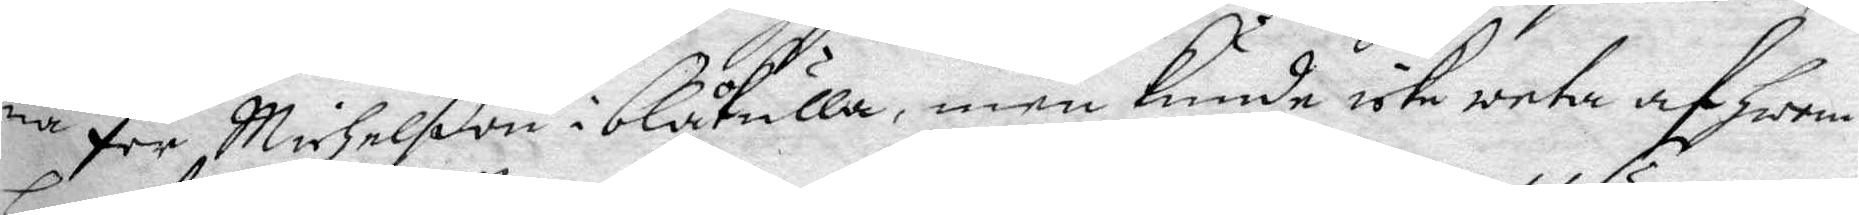na Per Michelßon i blåkulla, men kunde icke weta af hwem
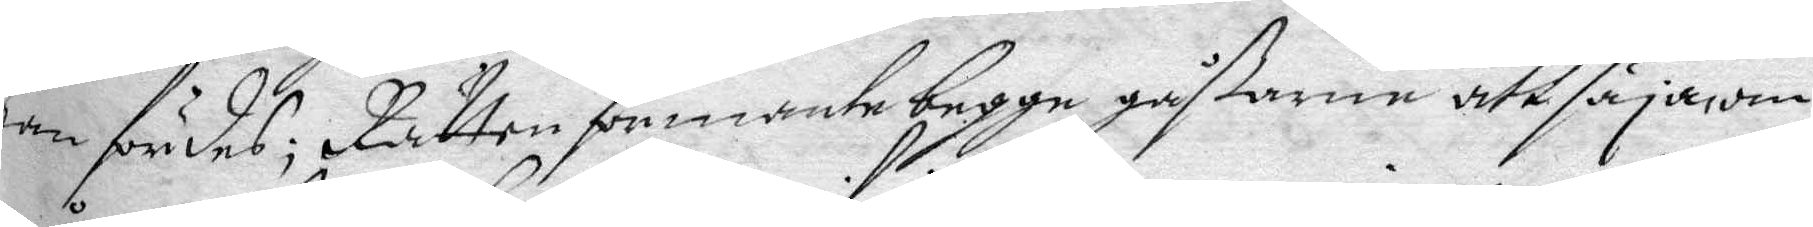han fördes; Rätten förmante begge gåßarne att säja om
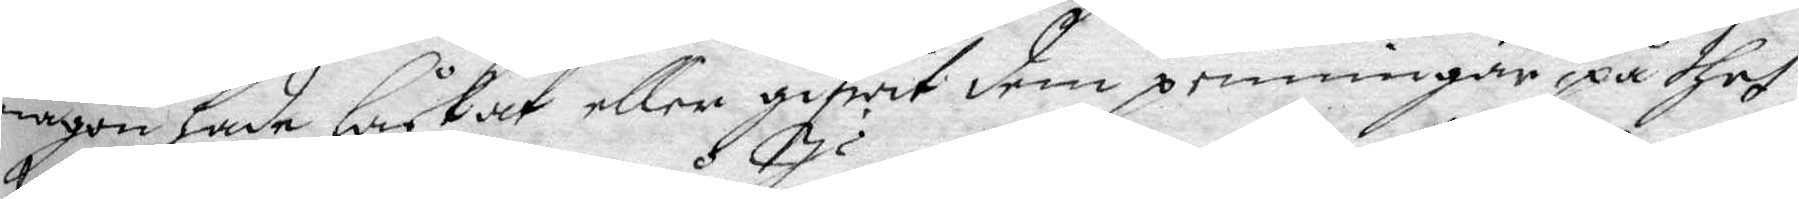någon hade låckat eller gifwit dem penningar på thet
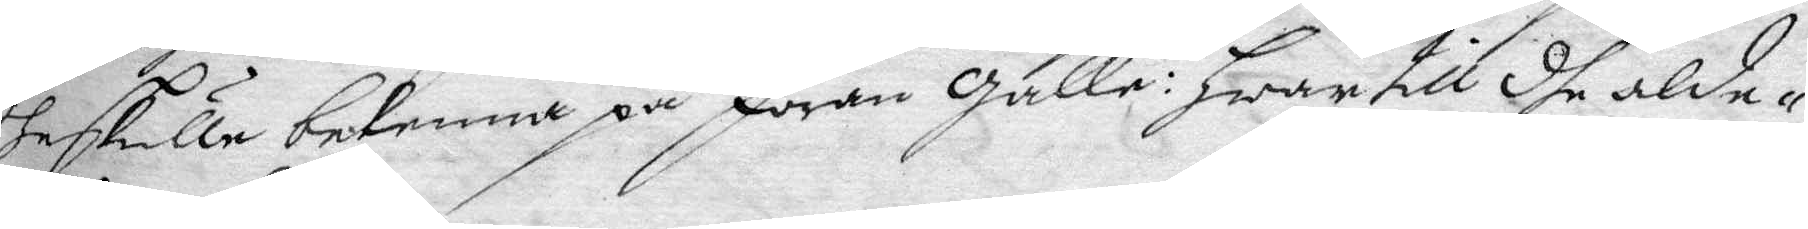the skule bekenna på Jöran Galle: hwar till dhe alde¬
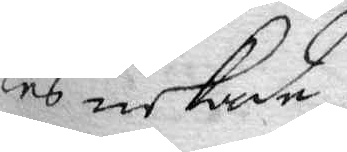les nekade.
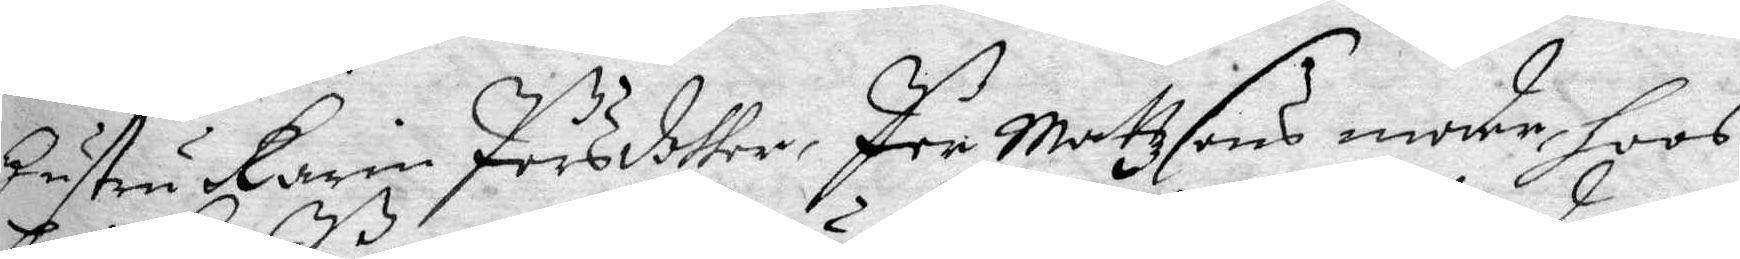hustru Karin Pärsdotter, Per Mattzsons moder, hoos
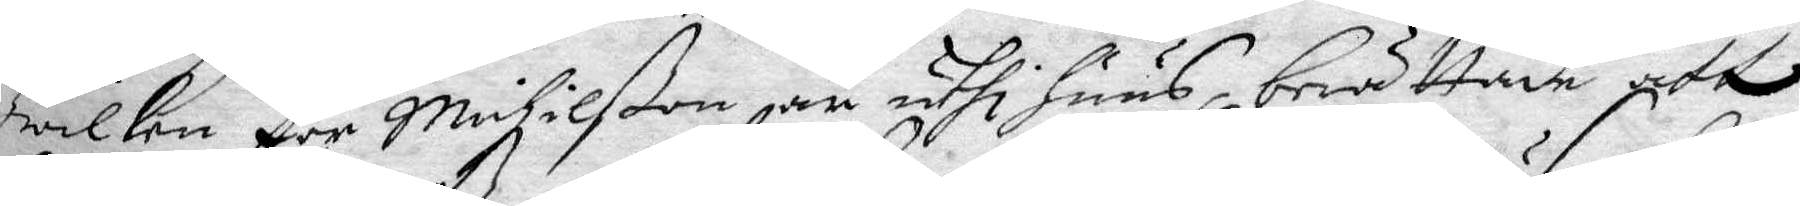hwilken Per Michelßon är uthi huus, berättade att
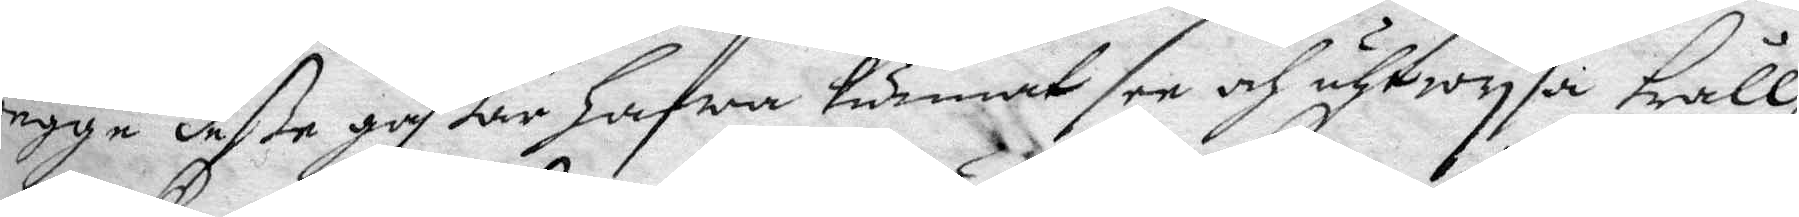begge deße gåßar hafwa kunnat see och utwysa tråll¬
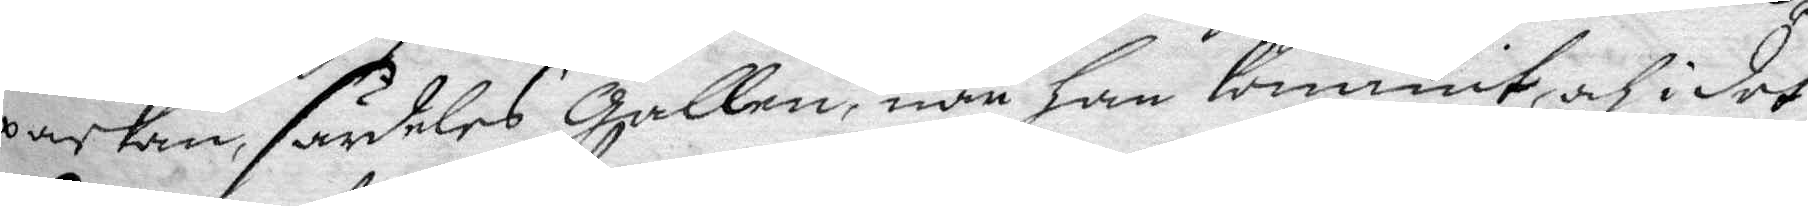packan, särdeles Gallen, när han kommit, och i det
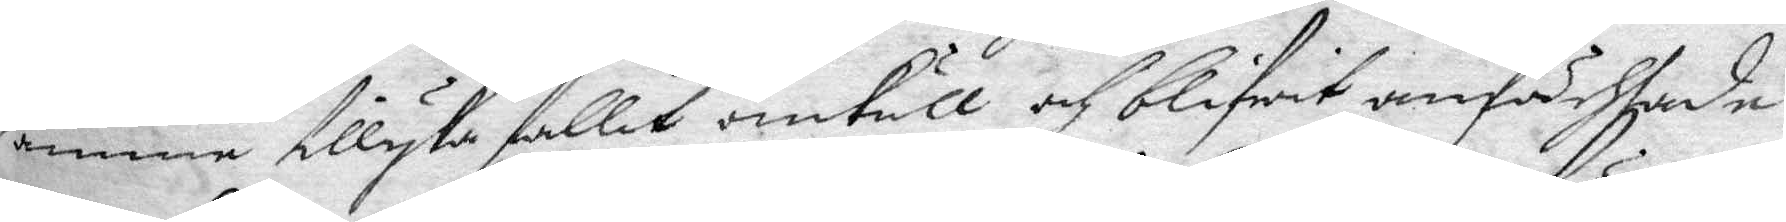samma tillyka fallit omkull och bliwit anfächtade
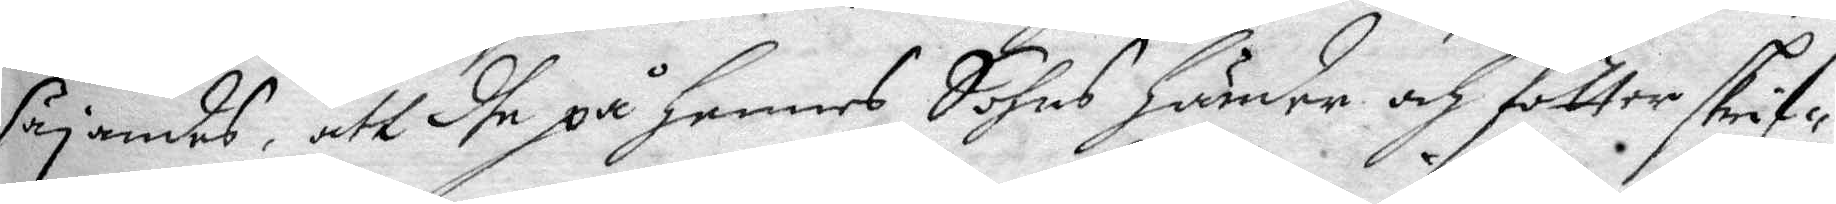säjamdes, att dhe på hennes Sohns händer och fötter skrif¬
